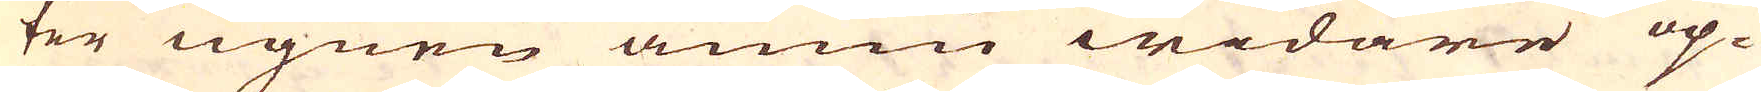ter ugnen ännu widare op-
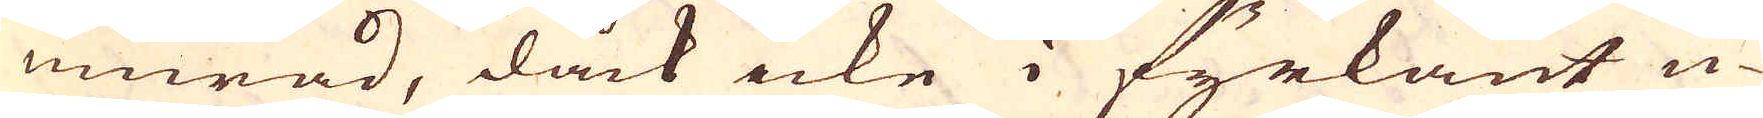murad, dåck icke i fyrkant u-
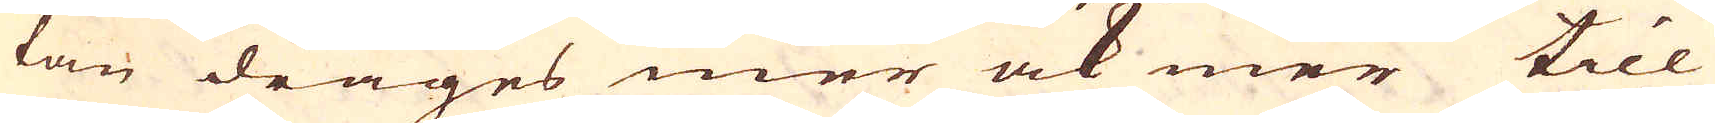tan drages mer ock mer till
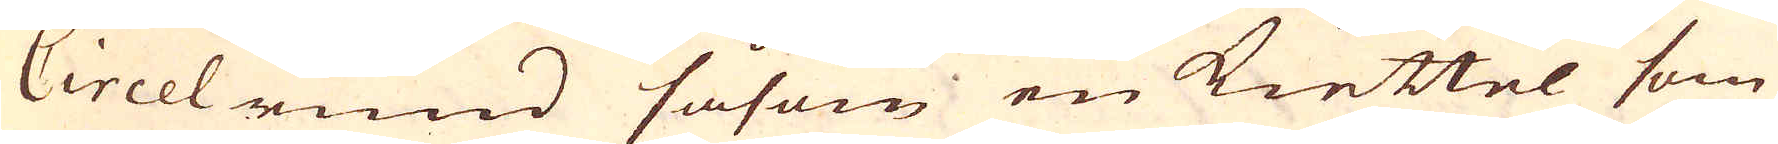Circelrund såsom en kiettel som
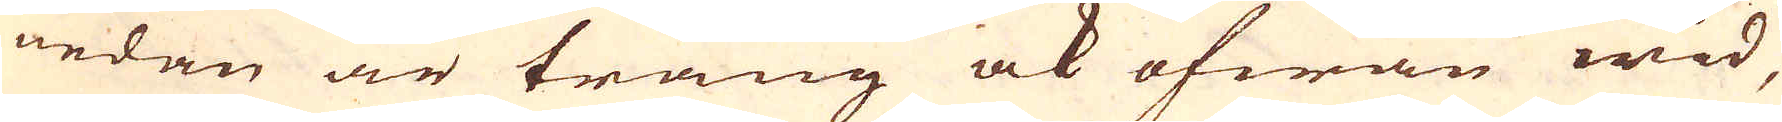nedan är trång ock ofwan wid,
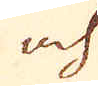och
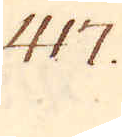417.
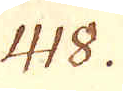418.
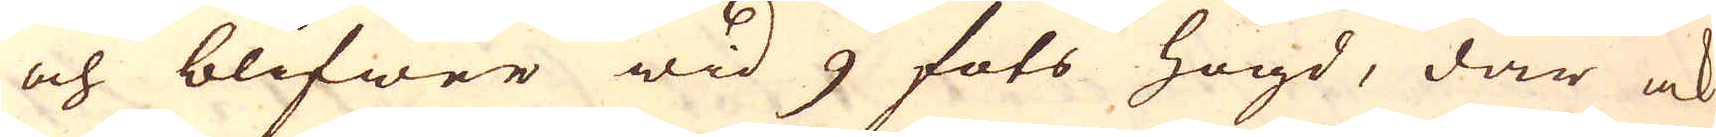och blifwer wid 9 fots högd, där ock
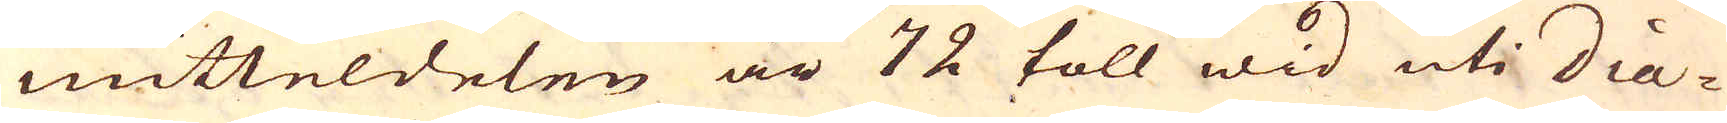mitteldelen är 72 toll wid uti dia-
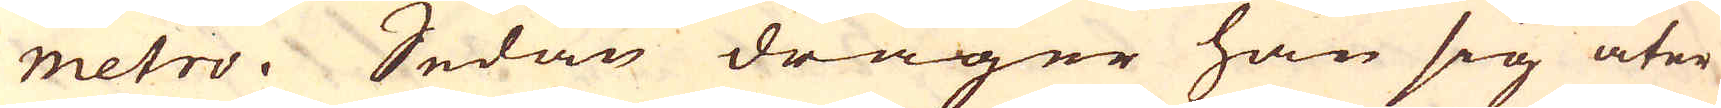metro. Sedan drager han sig åter
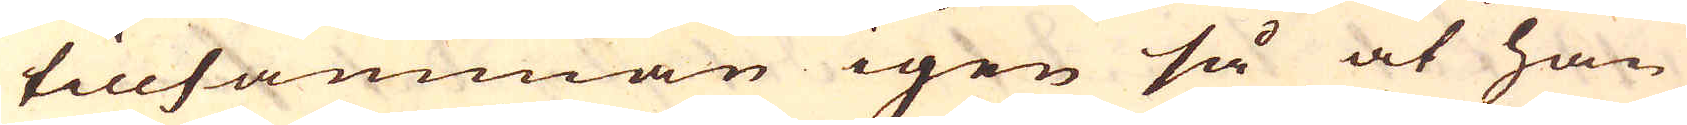tillsamman igen så at han
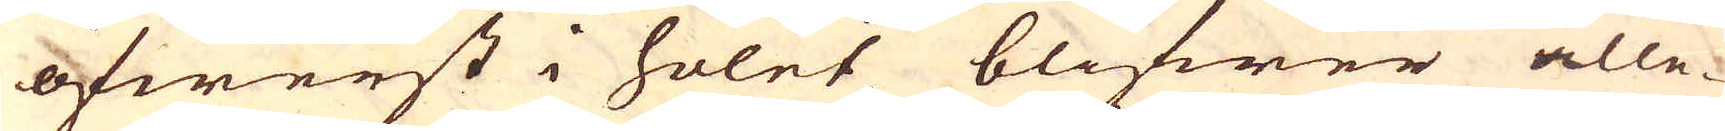öfwerst i holet blifwer alle-
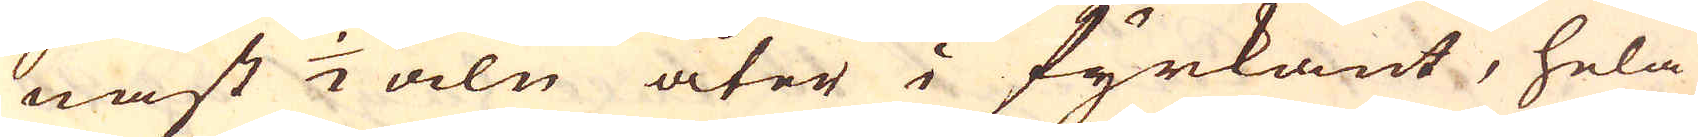nast 1/2 aln åter i fyrkant, hela
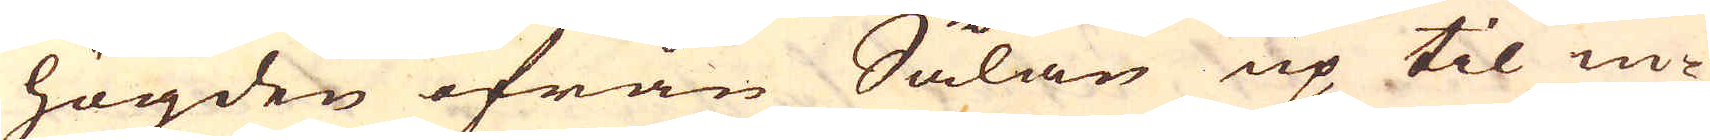högden ifrån Sålan up til in-
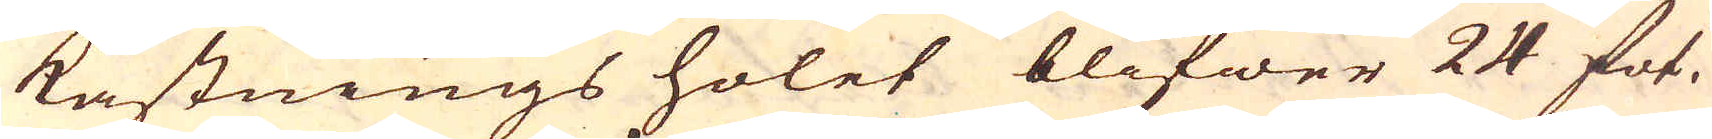kastnings holet blifwer 24 fot.
